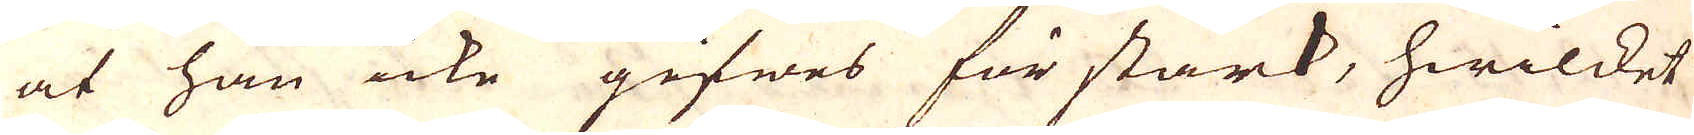at han icke gifwes för stark, hwilket
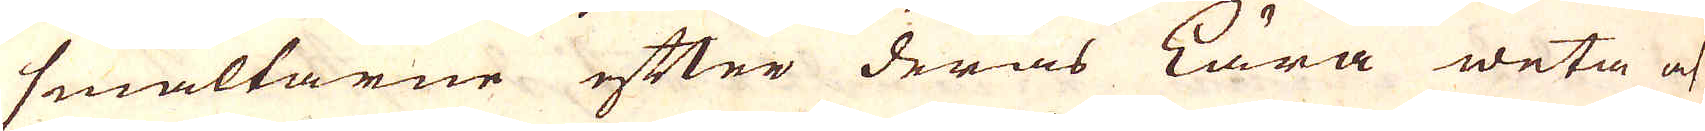smältarne efter deras lära weta at
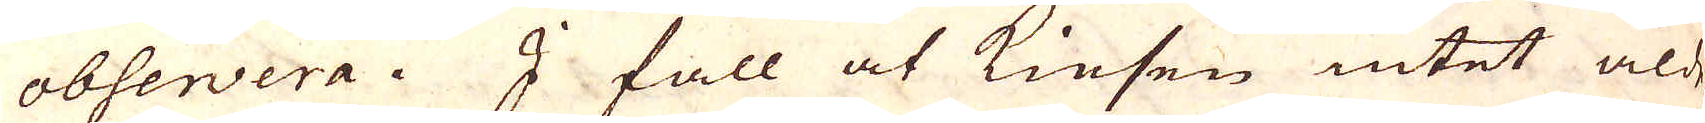observera. I fall at Kiesen intet alde-
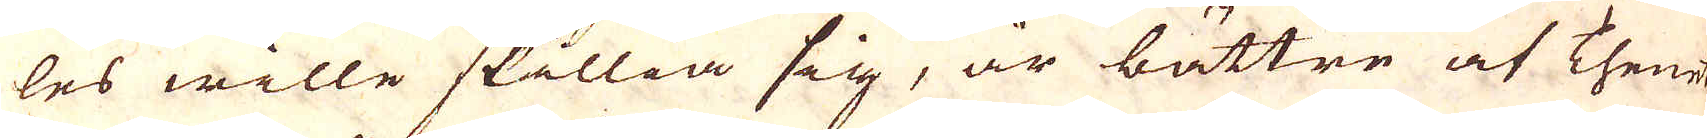les wille skillia sig, är bättre at Thene
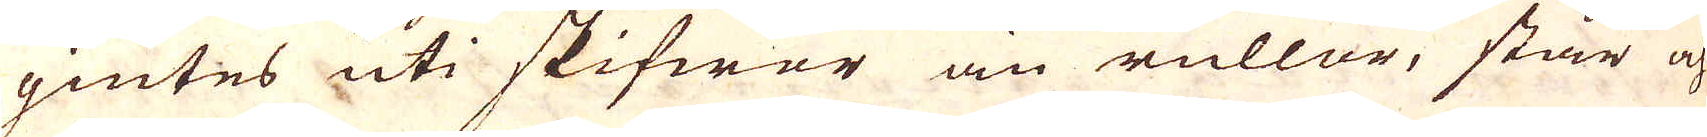giutes uti skifwor än rullar, står och
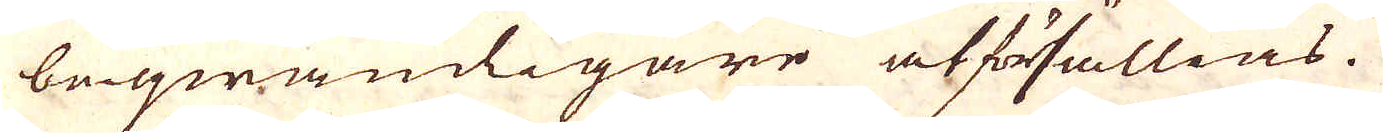beqwämligare at försällias.
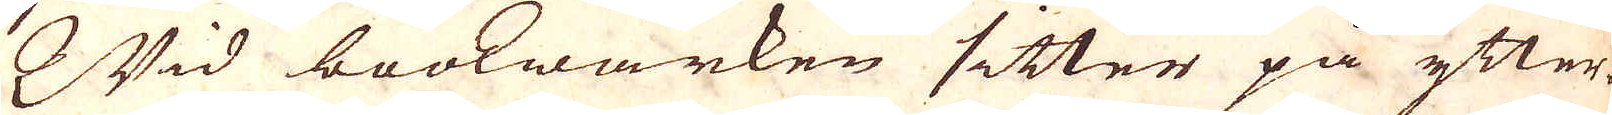Wid bookwärken sitter på ytter-
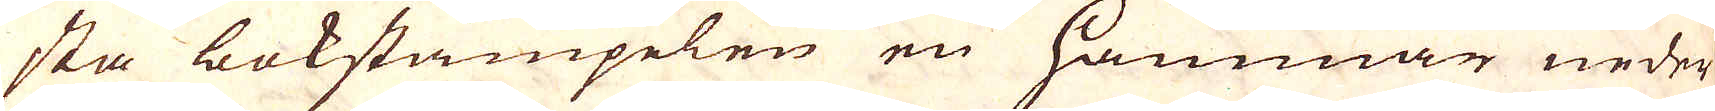sta bokstämpelen en hammar neder
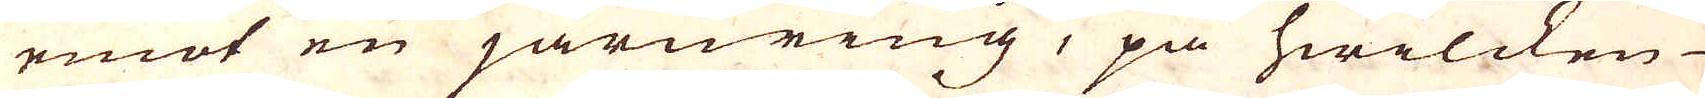emot en järnring, på hwilcken
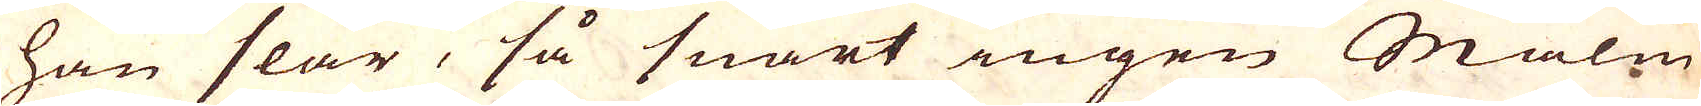han slår, så snart ingen Malm
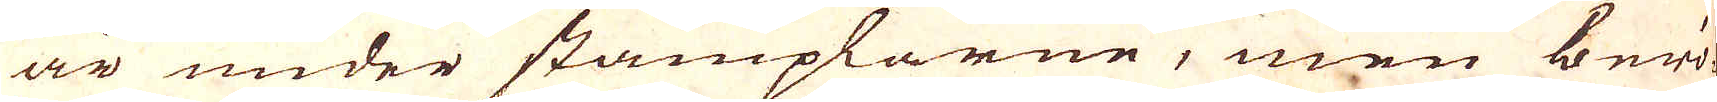är under stämplarne, men berö-
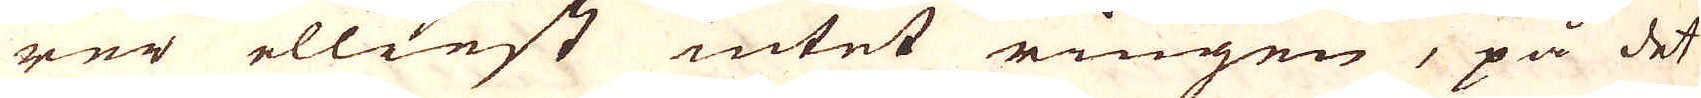rer elliest intet ringen, på det
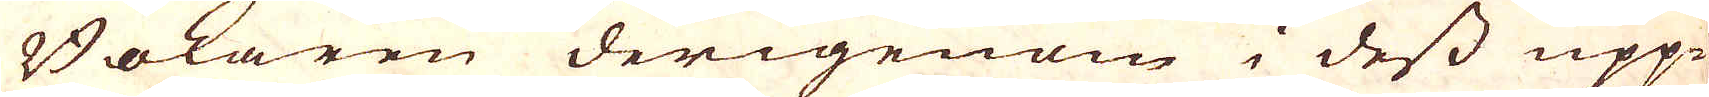Bokaren derigenom i dess upp-
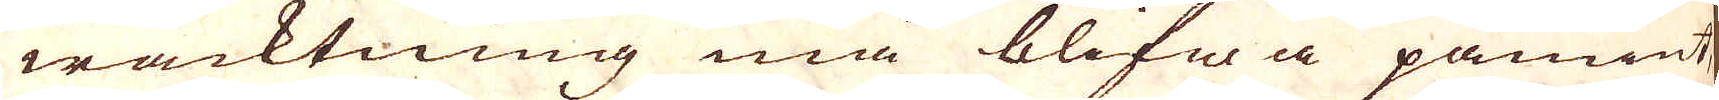wacktning må blifwa påmint.
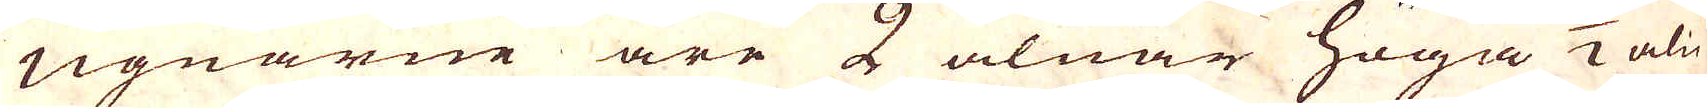Ugnarne äre 5 alnar höga 1/2 aln
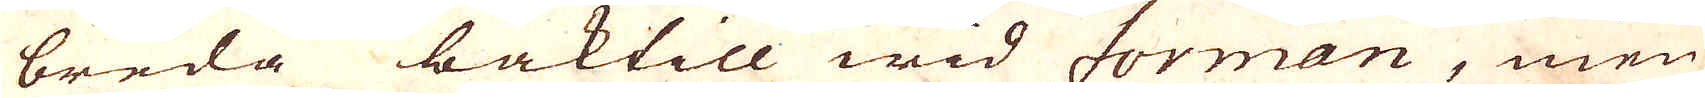breda baktill wid forman, men
